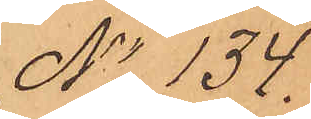No 134.
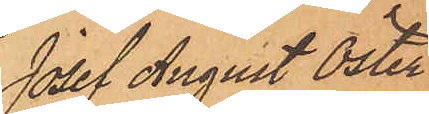Josef August Öster¬
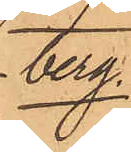berg
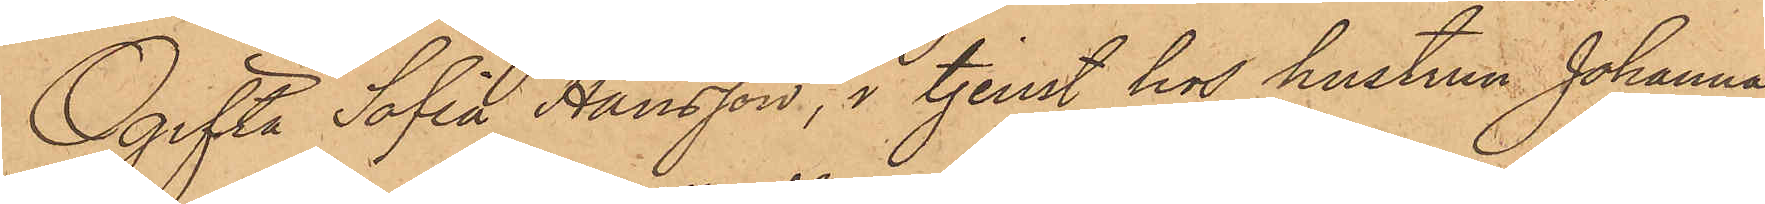Ogifta Sofia Hansson, i tjenst hos hustrun Johanna
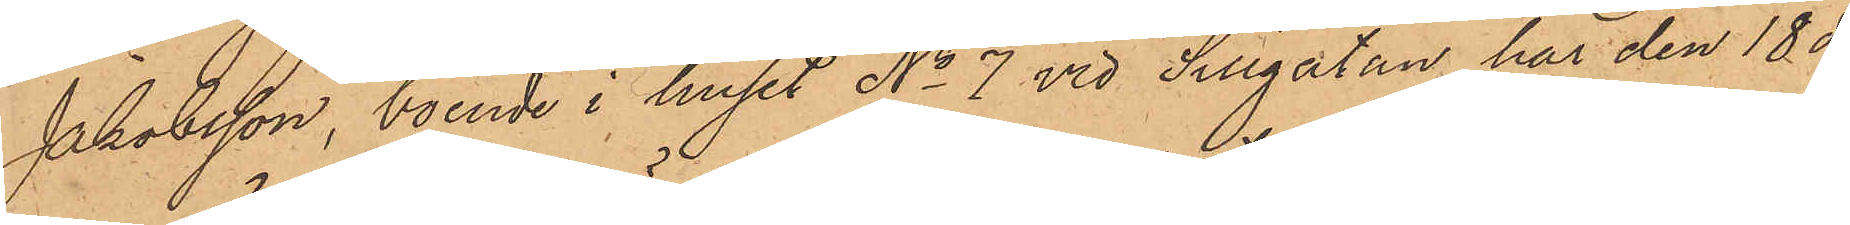Jakobsson, boende i huset No 7 vid Sillgatan har den 18 ds
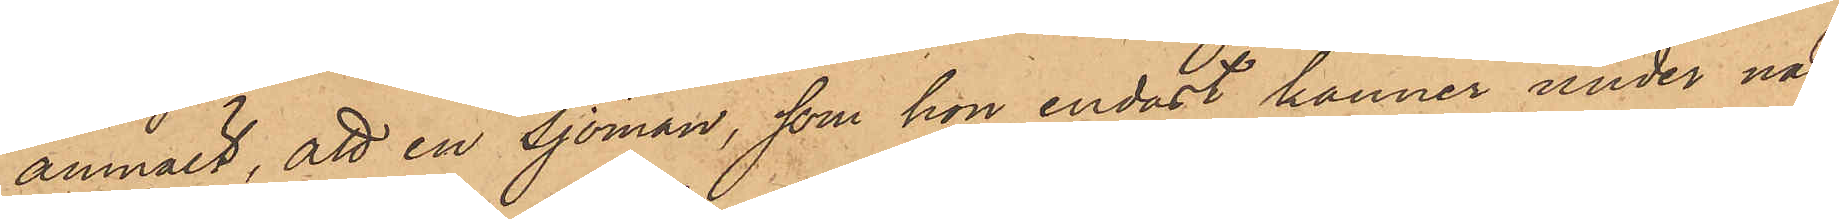anmält, att en sjöman, som hon endast känner under nam¬
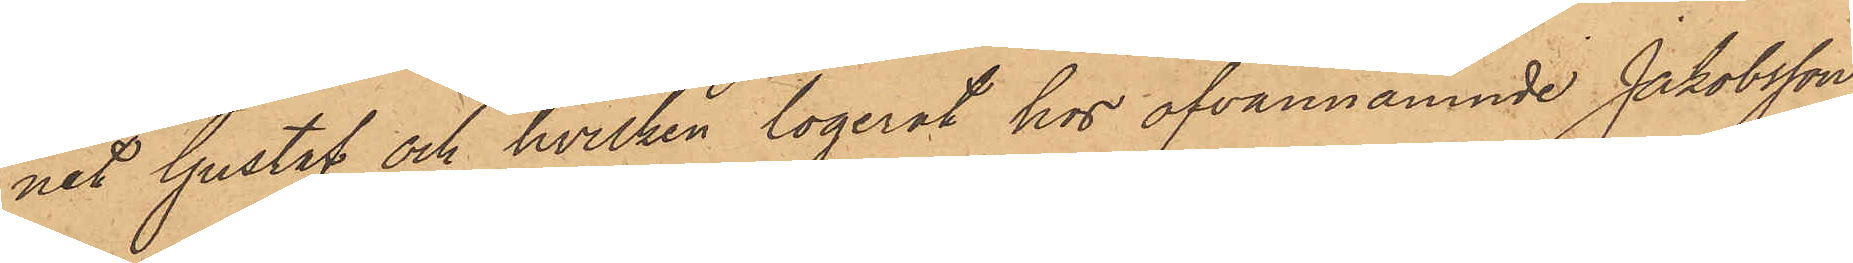net Gustaf och hvilken logerat hos ofvannämnde Jakobsson,
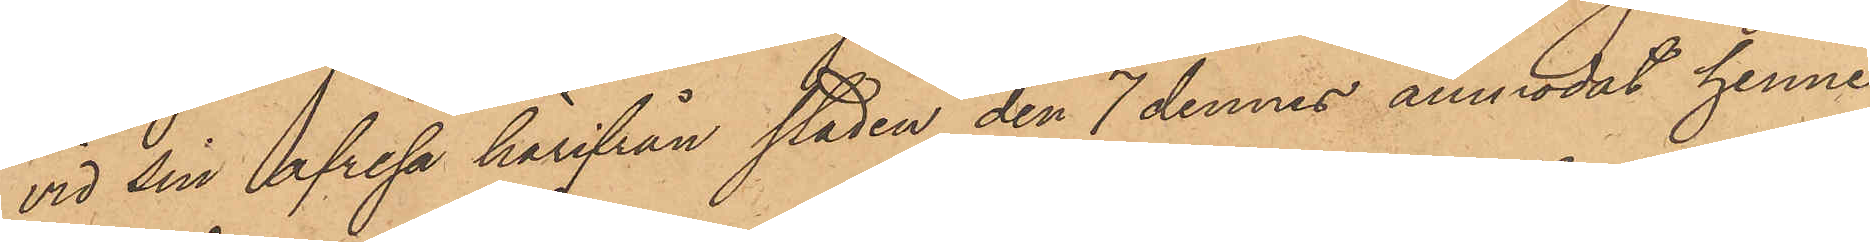vid sin afresa härifrån staden den 7 dennes anmodat henne
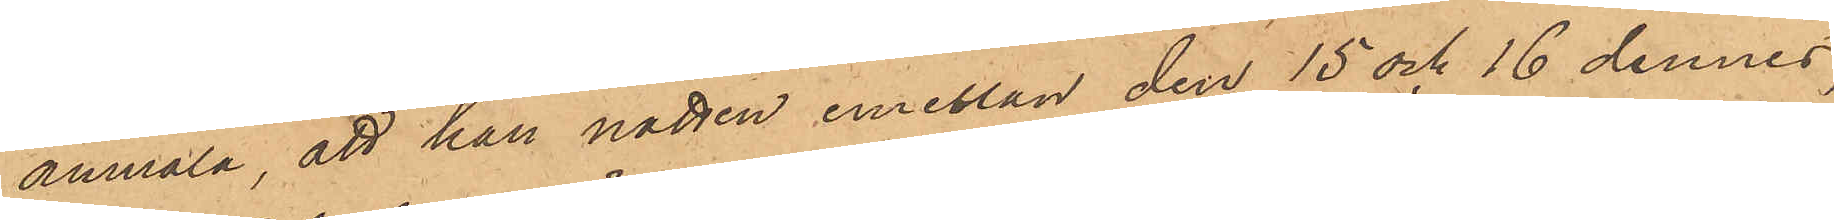anmäla, att han natten emellan den 15 och 16 dennes,
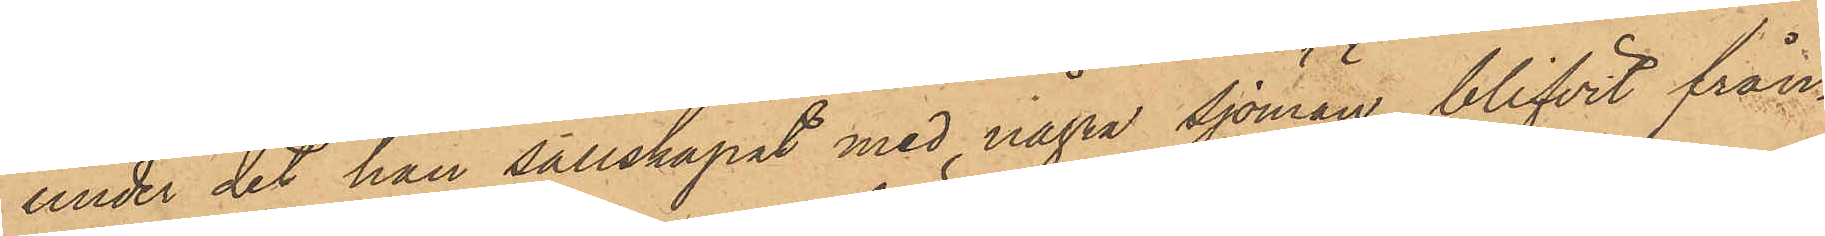under det han sällskapat med några sjömän, blifvit från¬
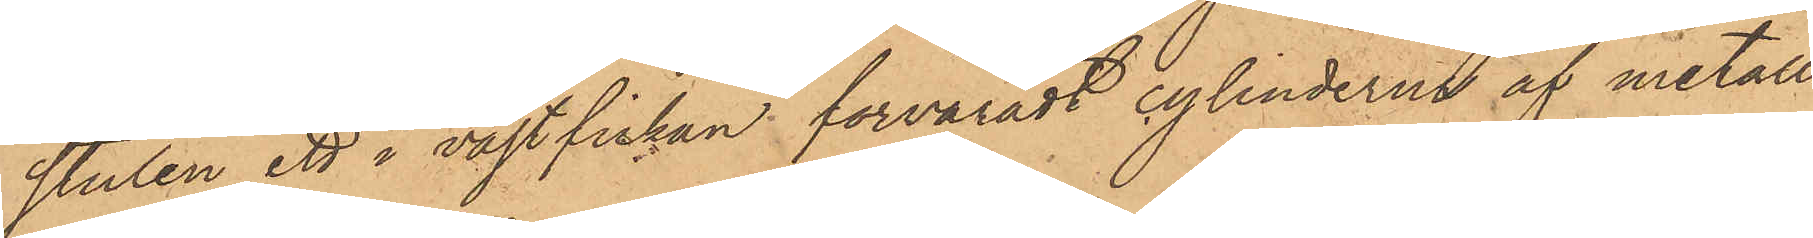stulen ett i västfickan förvaradt cylinderur af metall
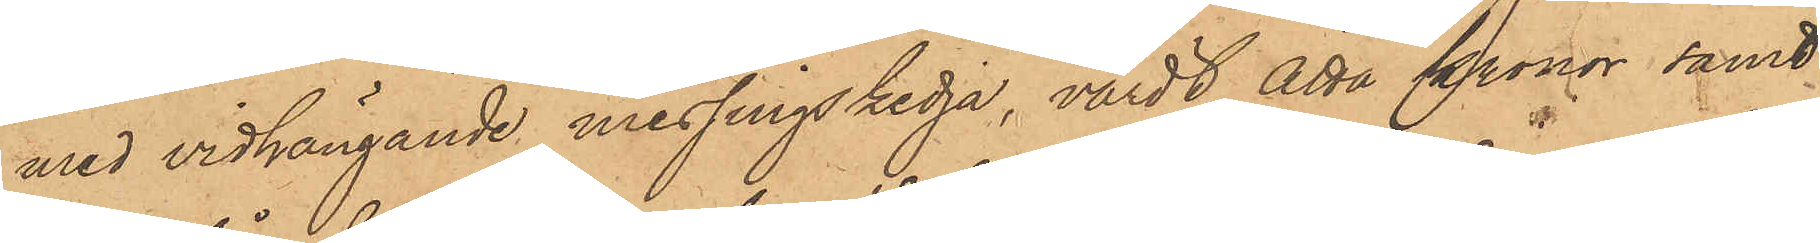med vidhängande messingskedja, värdt Åtta Kronor samt
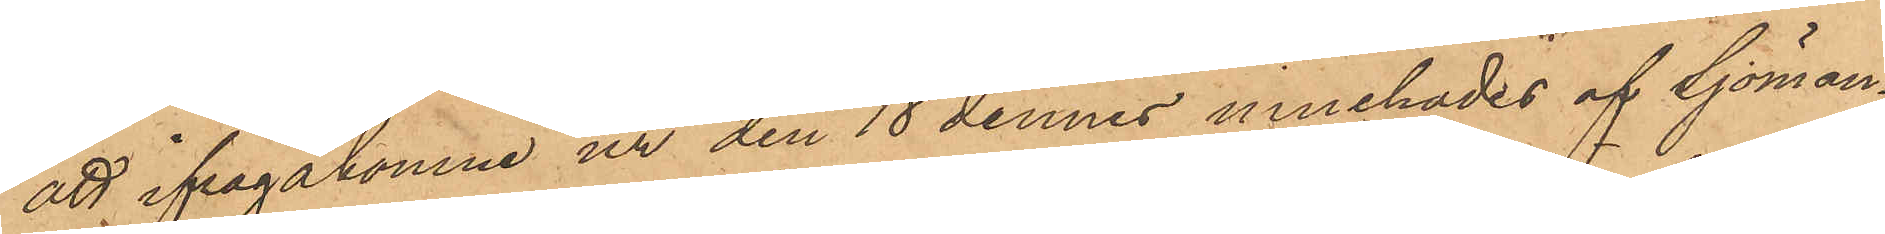att ifrågakomne ur den 18 dennes innehades af Sjöman¬
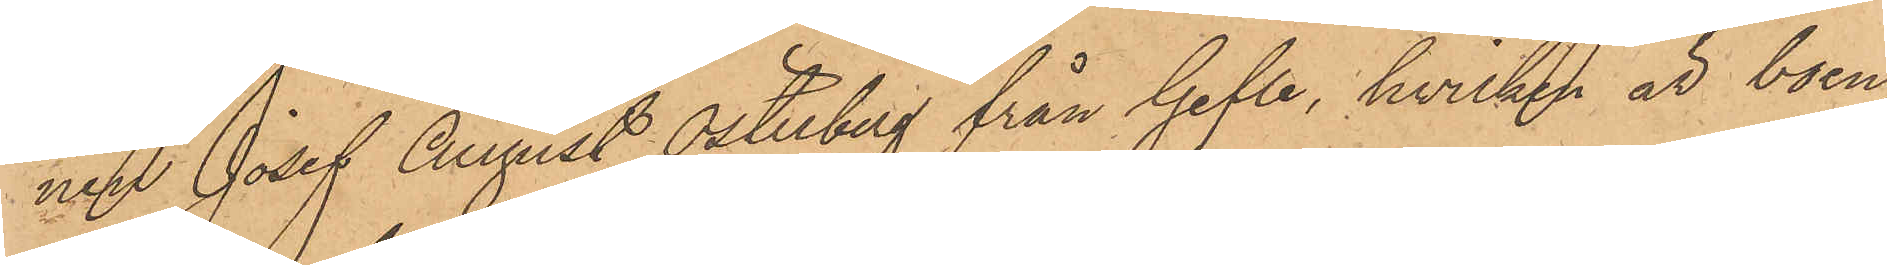nen Josef August Österberg från Gefle, hvilken var boen¬
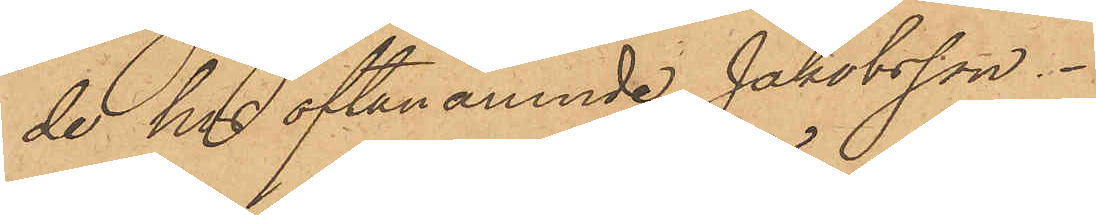de hos oftanämnde Jakobsson.
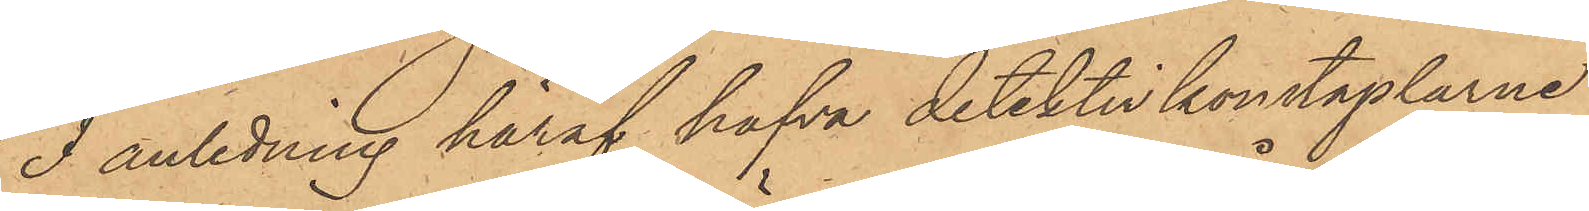I anledning häraf hafva detektivkonstaplarne
